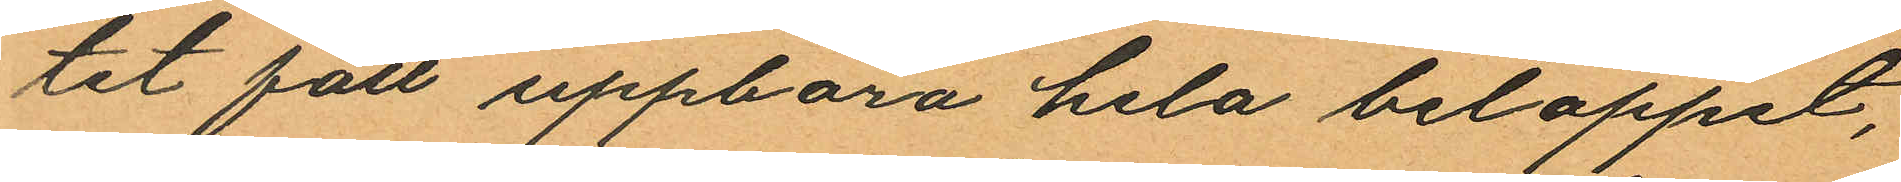tet fått uppbära hela beloppet,
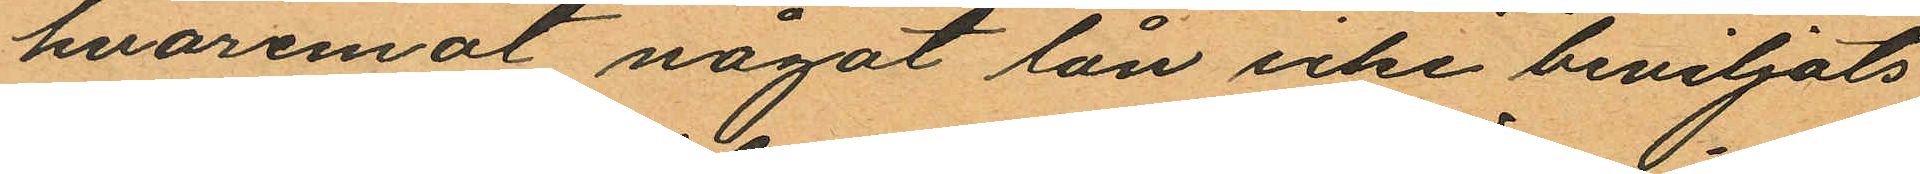hvaremot något lån icke beviljats
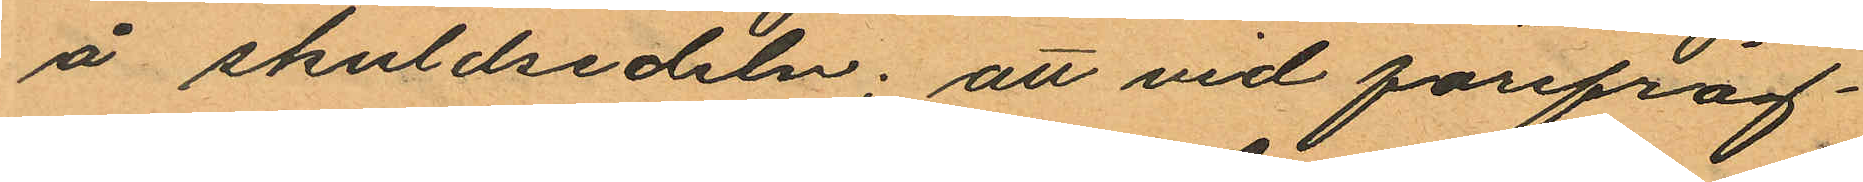å skuldsedeln; att vid förefråg¬
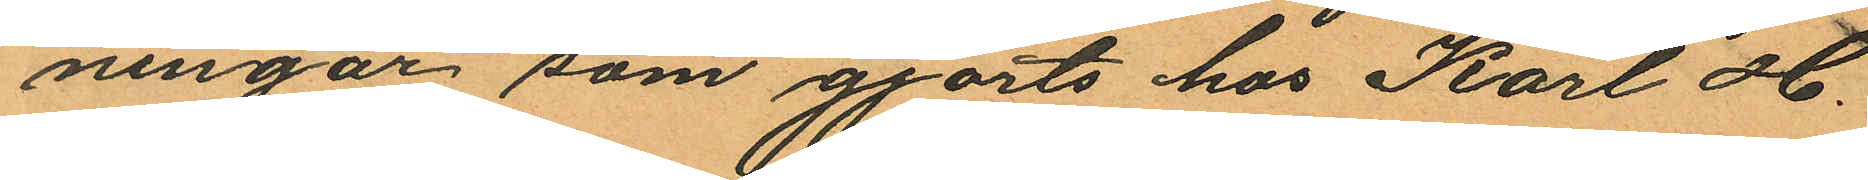ningar som gjorts hos Karl H.
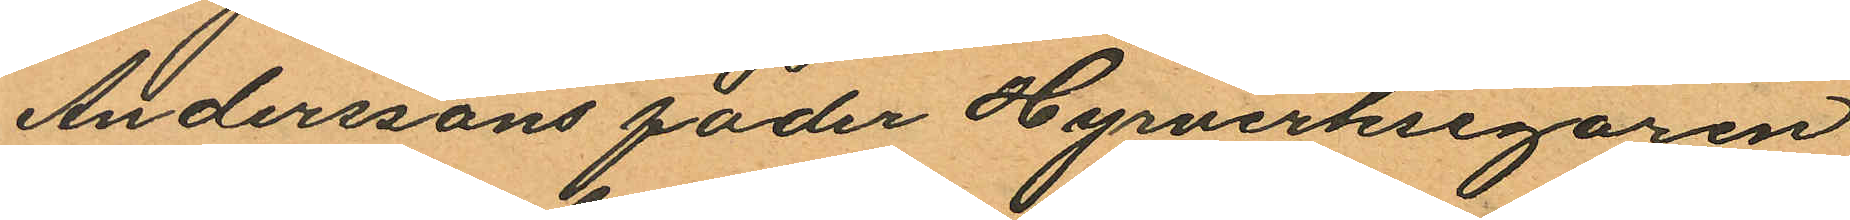Anderssons fader Hyrverksegaren
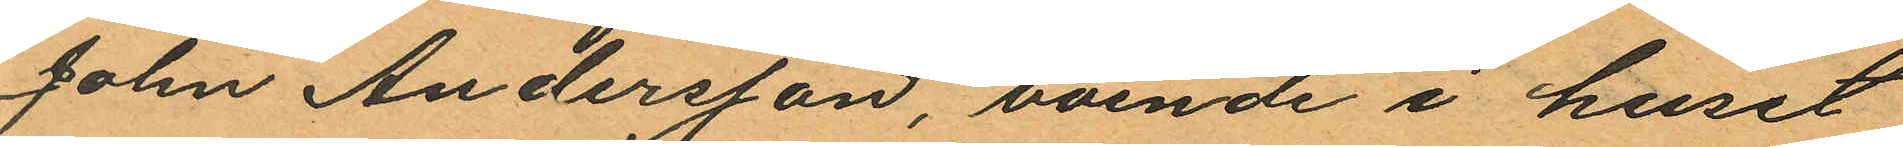John Andersson, boende i huset
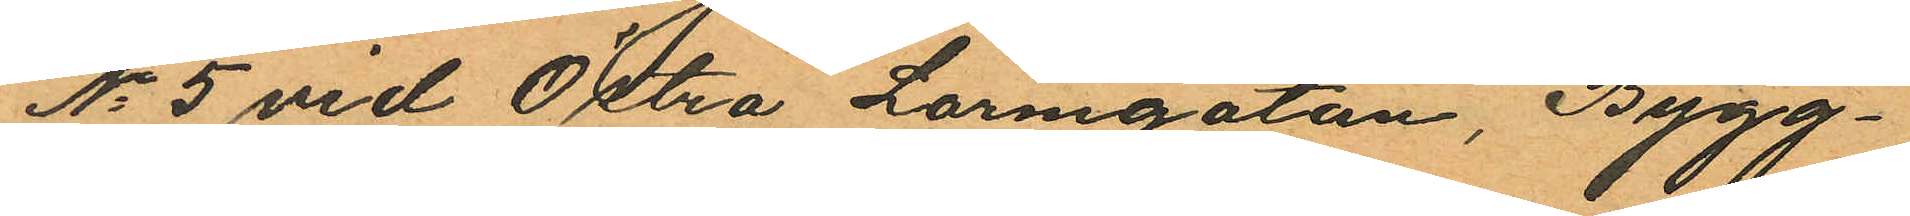No 5 vid Östra Larmgatan, Bygg¬
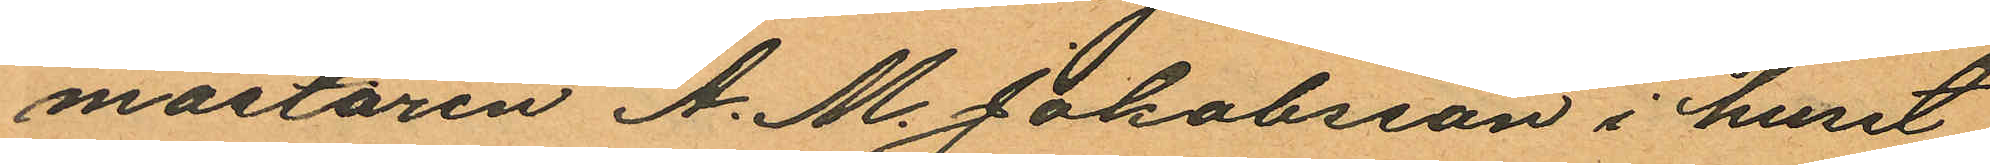mästaren A. M. Jakobsson i huset
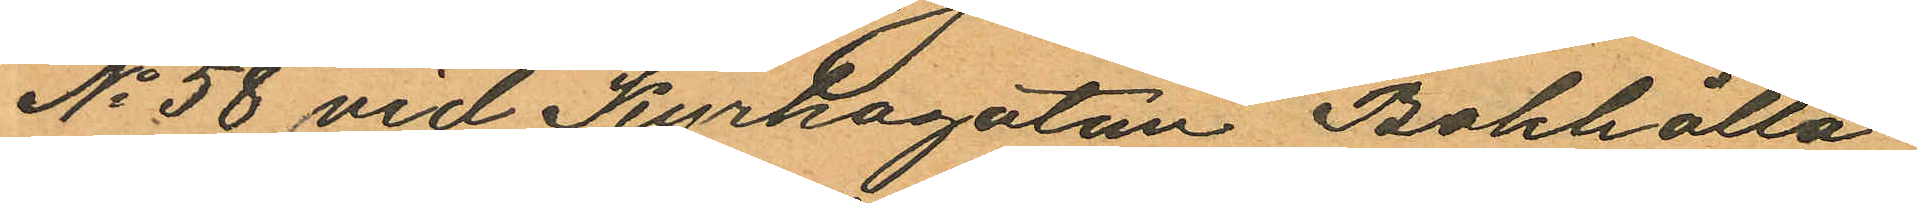No 58 vid Kyrkogatan Bokhålla
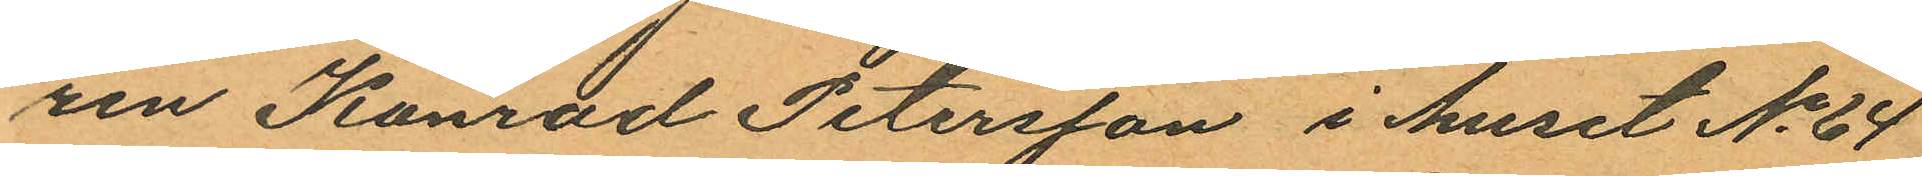ren Konrad Petersson i huset No 64
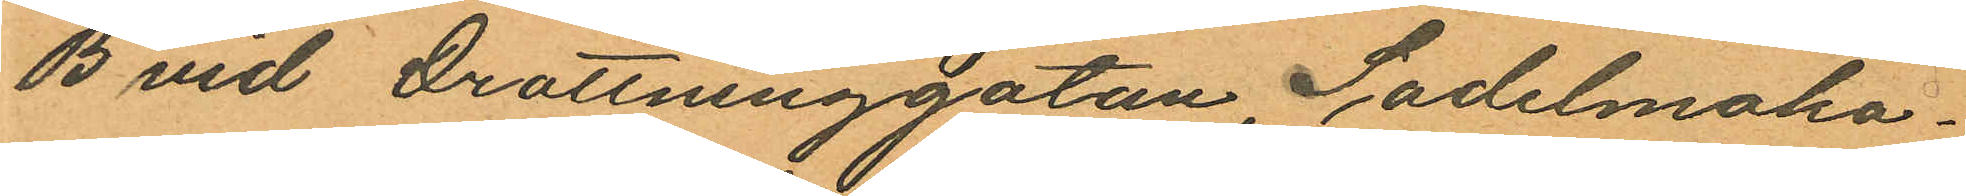B vid Drottninggatan, Sadelmaka¬
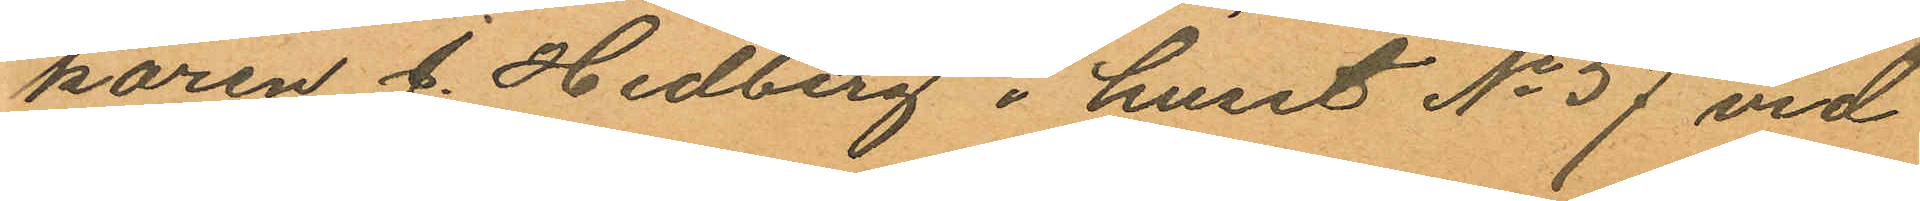karen J. Hedberg i huset No 57 vid
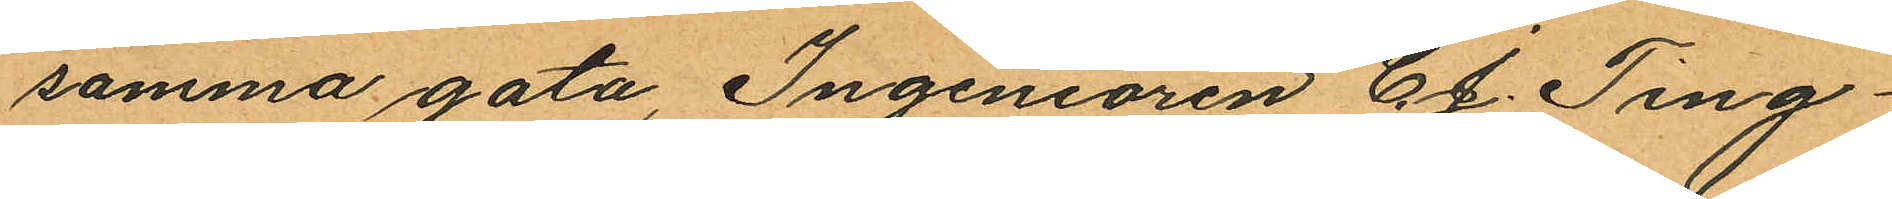samma gata, Ingeniören C. J. Ting¬
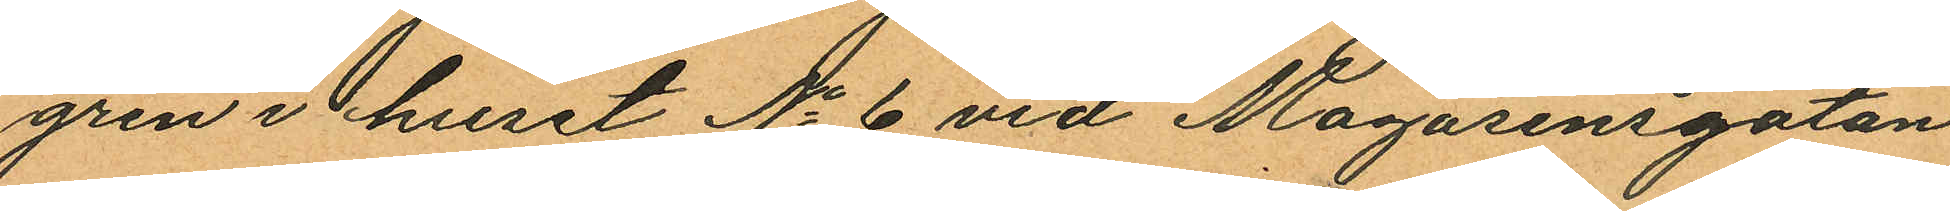gren i huset No 6 vid Magasinsgatan
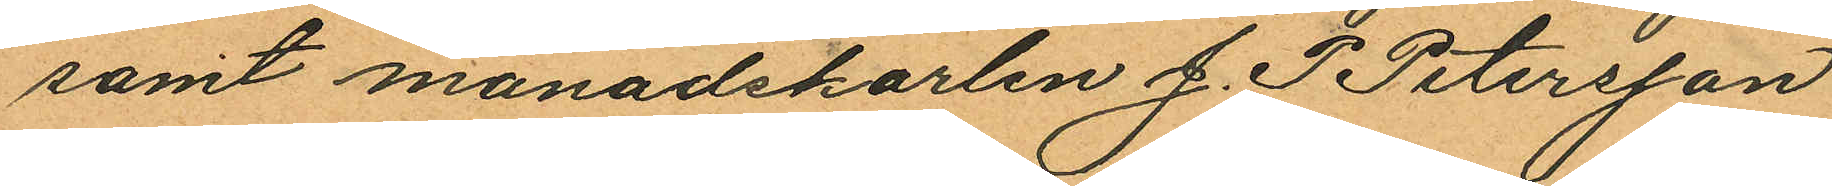samt månadskarlen J. P Petersson
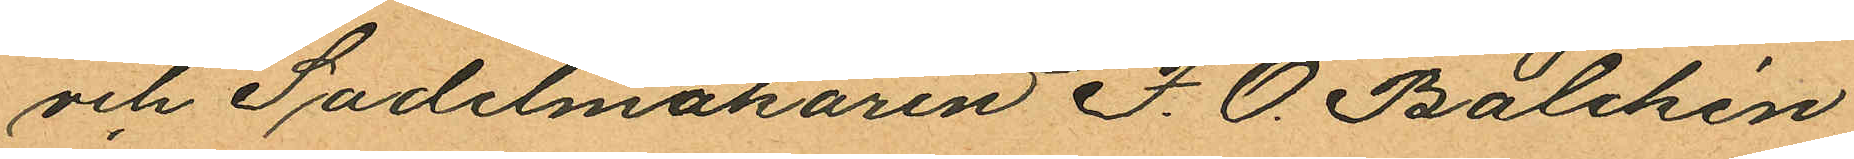och Sadelmakaren P. O. Balchén
